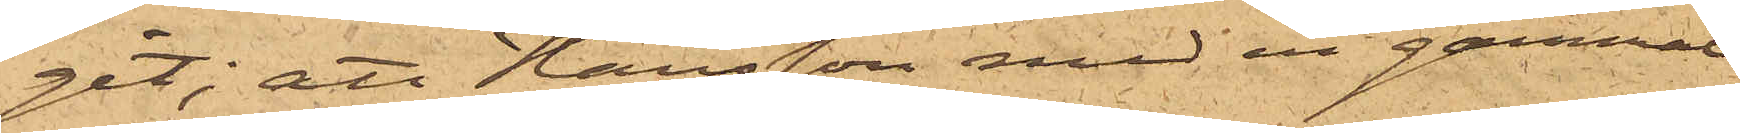git; att Hansson med en gammal
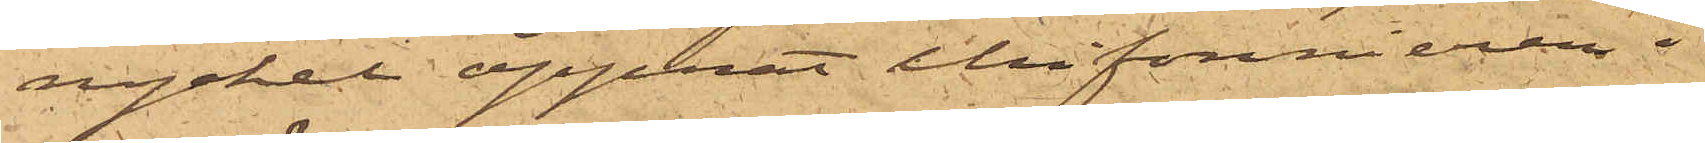nyckel öppnat chiffonieren i
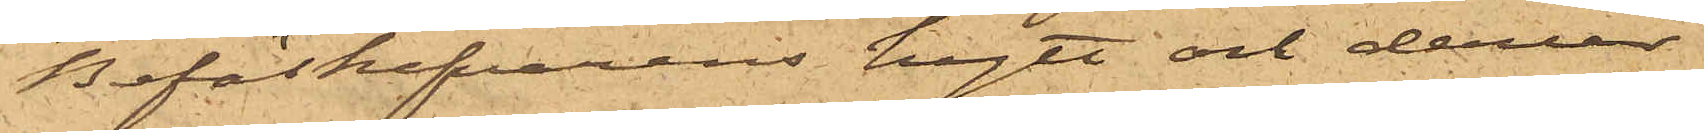Befälhavarens hytt och derur
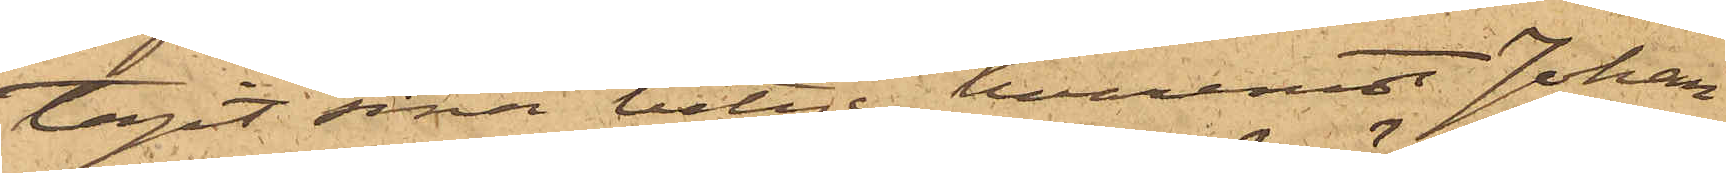tagit sina betyg, hvaremot Johan¬
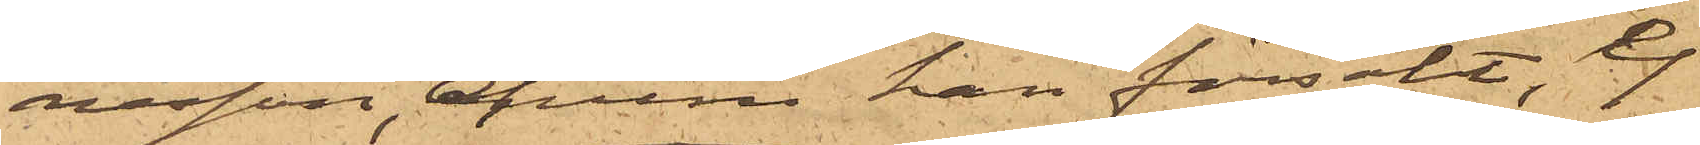nessen, ehuru han försökt, ej
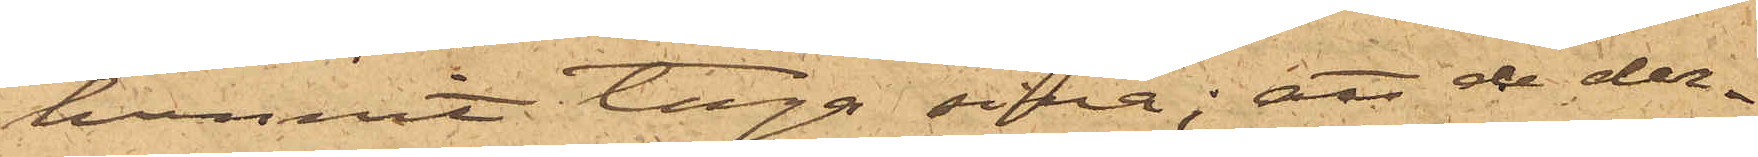hunnit taga sina; att de der¬
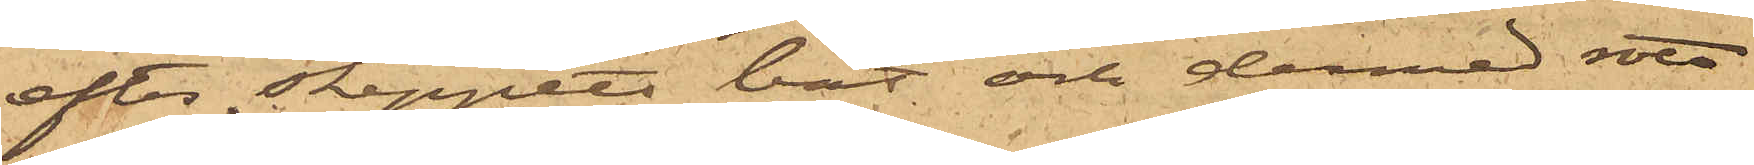efter skeppets båt och denne rott
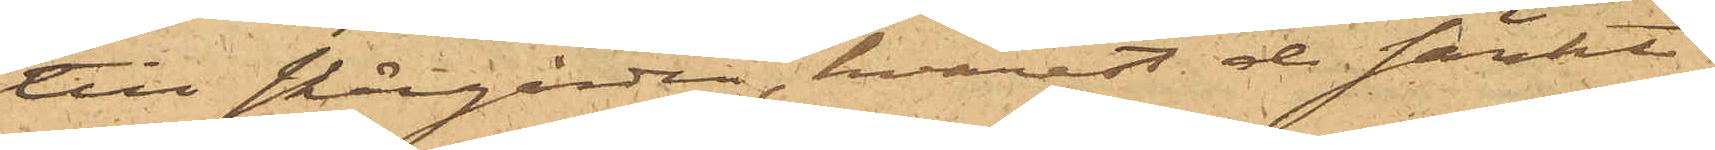till skärgården, hvarest de täckte
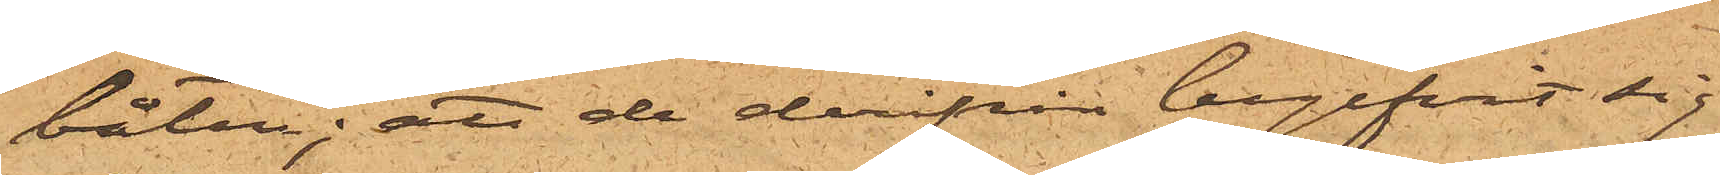båten; att de derifrån begifvit sig
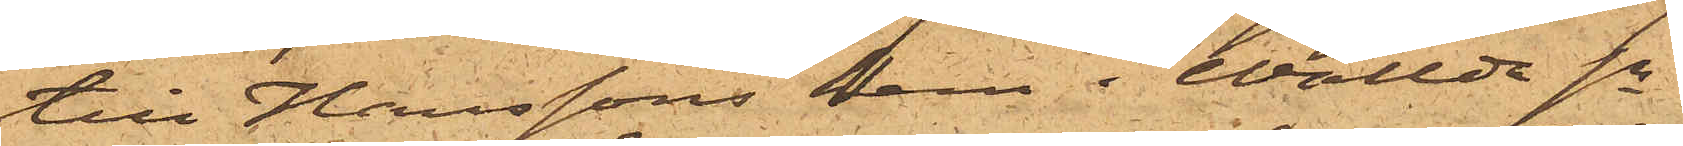till Hanssons hem i Wallda sn
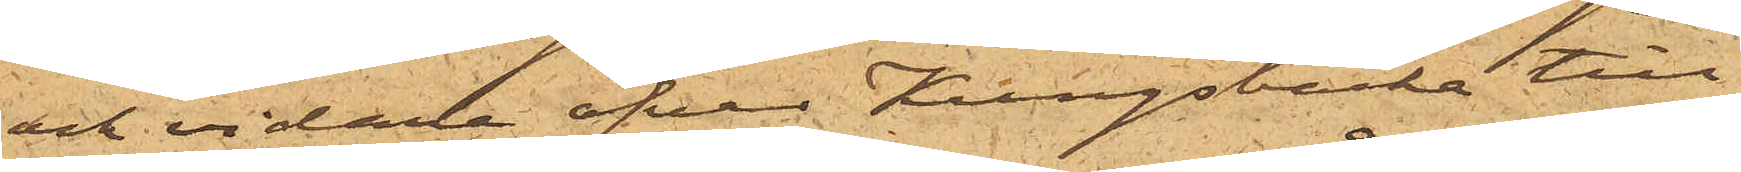och vidare öfver Kungsbacka till
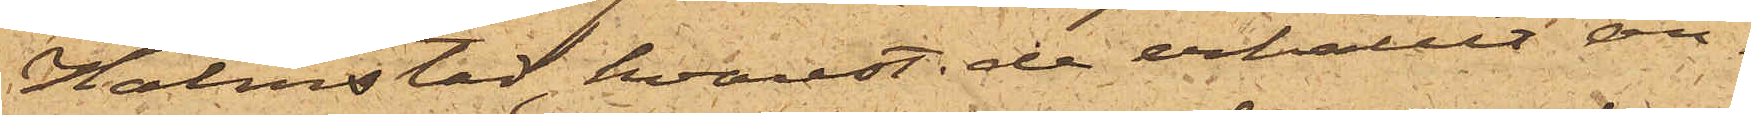Halmstad, hvarest de erhållit an¬
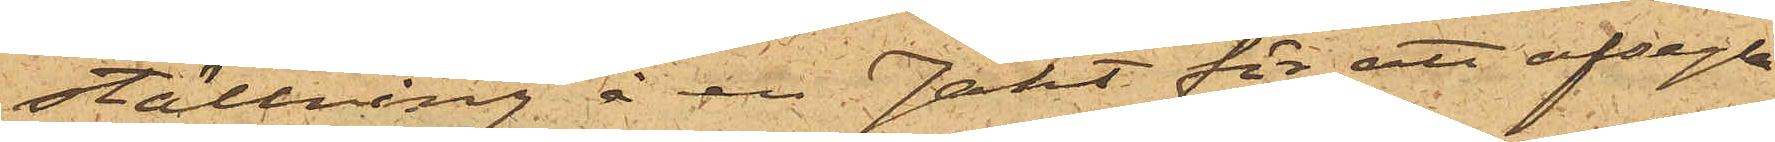ställning å en Jakt för att afsegla
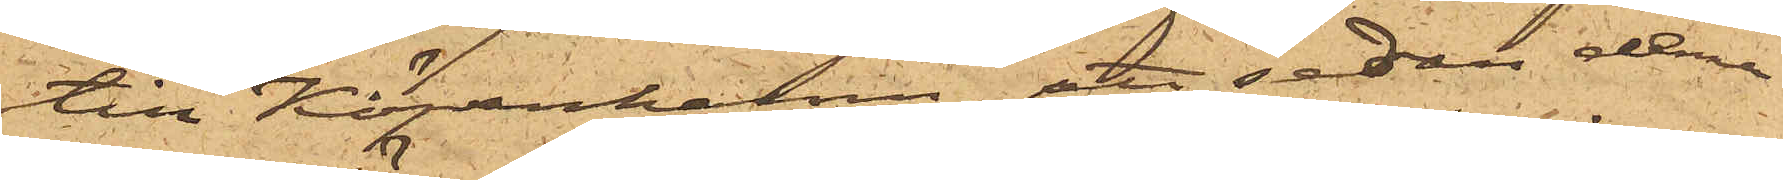till Köpenhamn; att sedan denna
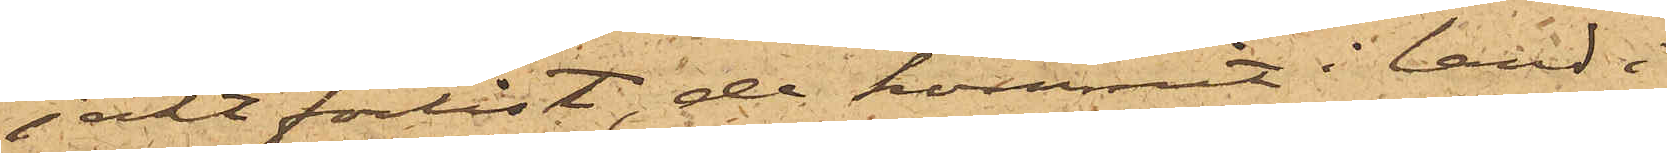jakt förlist, de kommit i land i
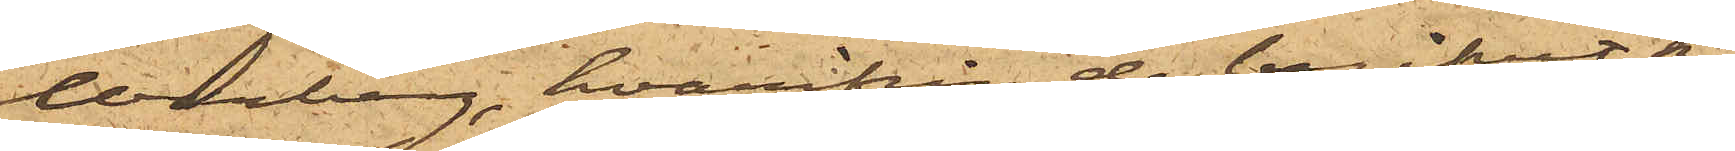Warberg, hvarifrån de begifvit sig
